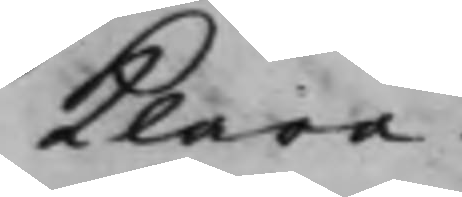klara.
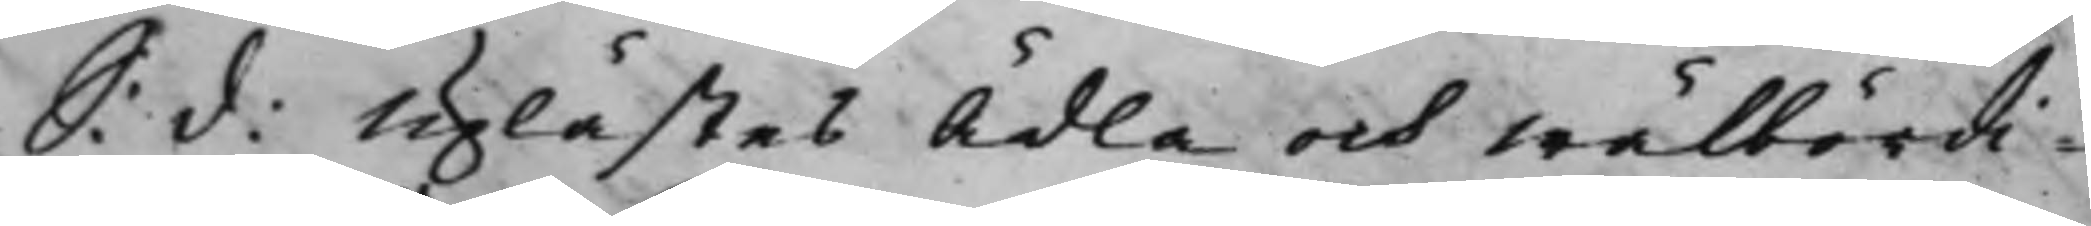S: d: Uplästes Ädla och Wälbördi¬
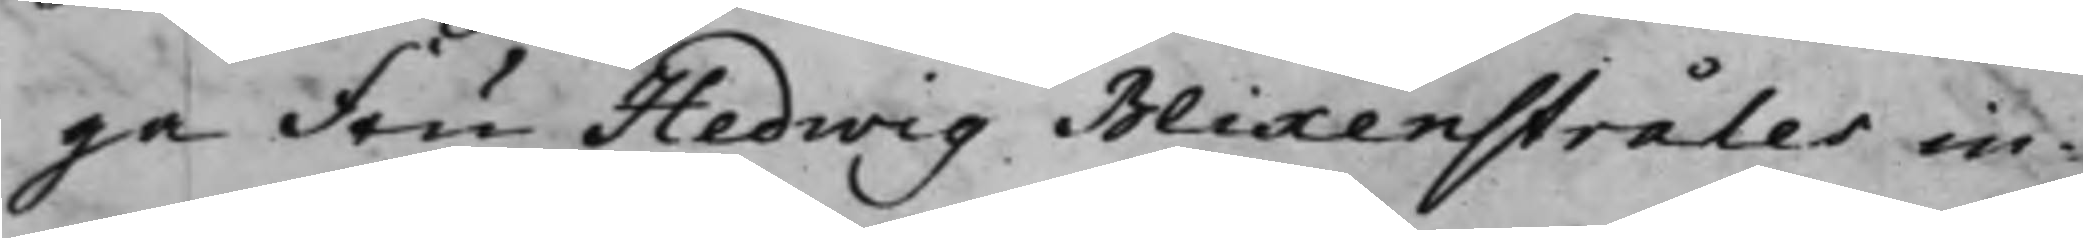ga Fru Hedwig Blixenstråles in¬
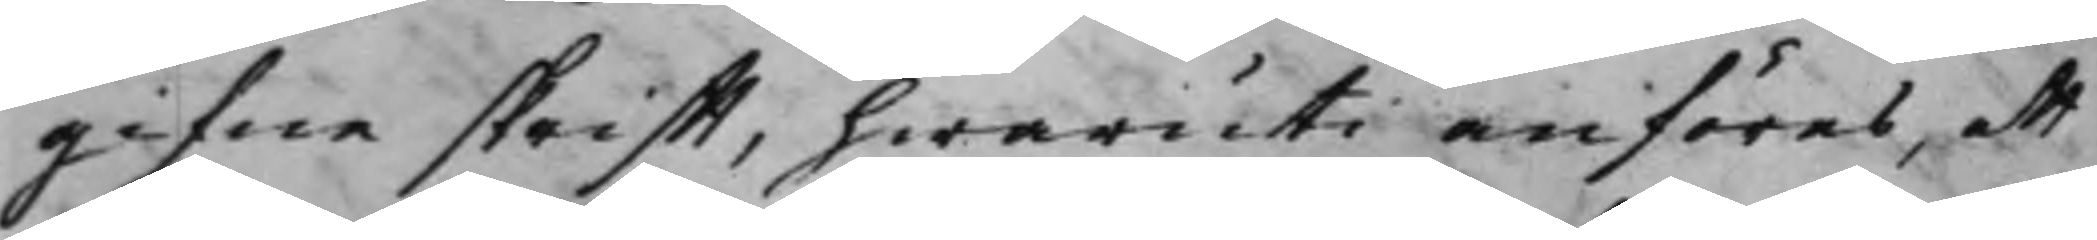gifne skrifft, hwaruti anföres, att
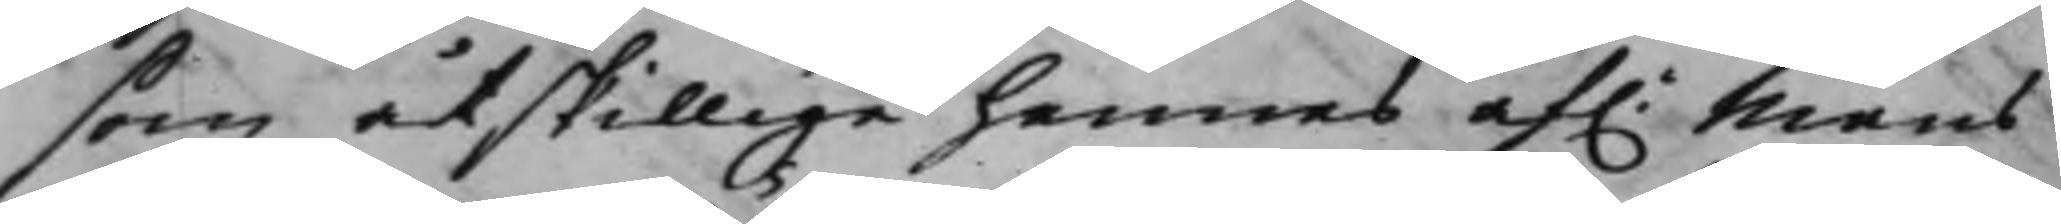som åtskillige hennes af. Mans
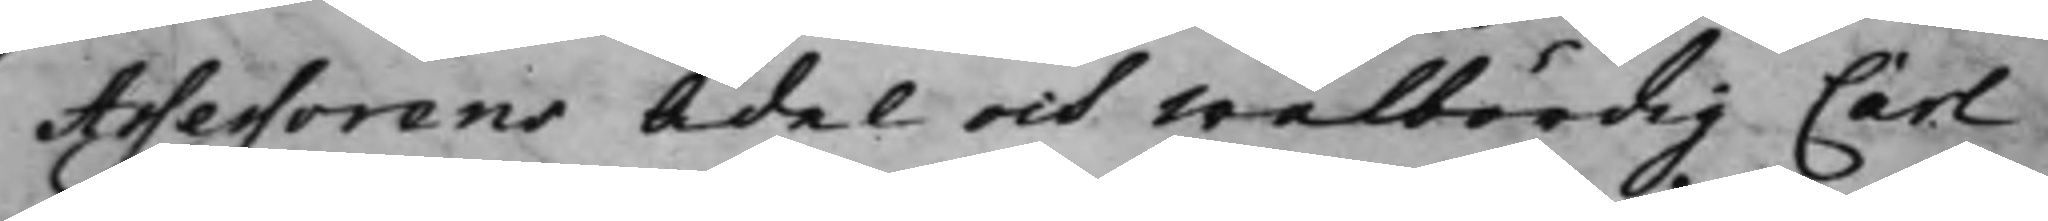Assessorens Ädel och Wälbördig Carl
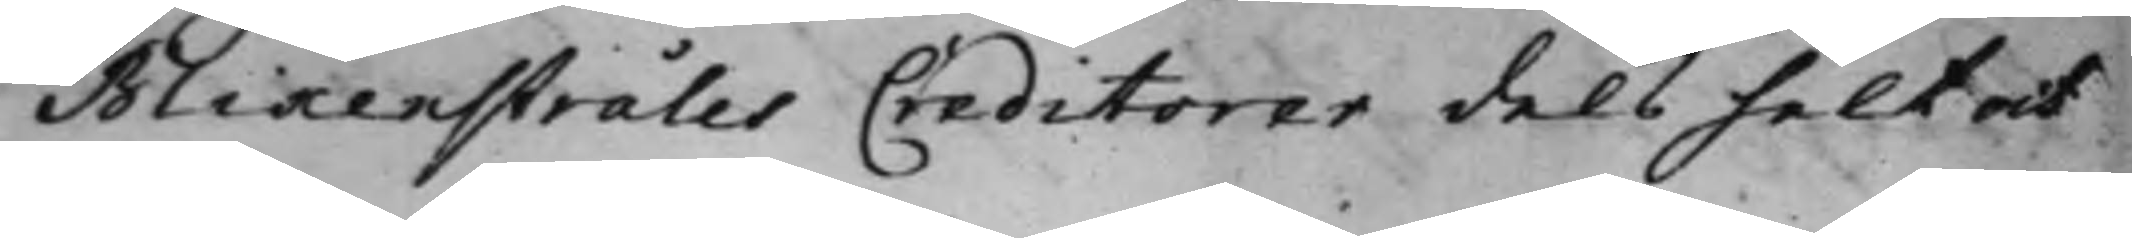Blixenstråles Creditorer dels helt och
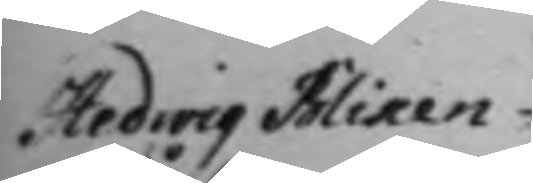Hedwig Blixen¬
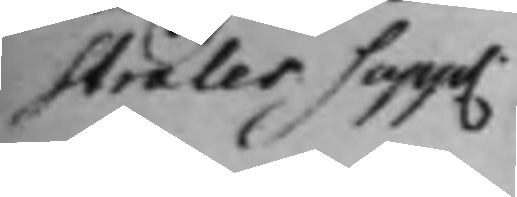stråles Supp.
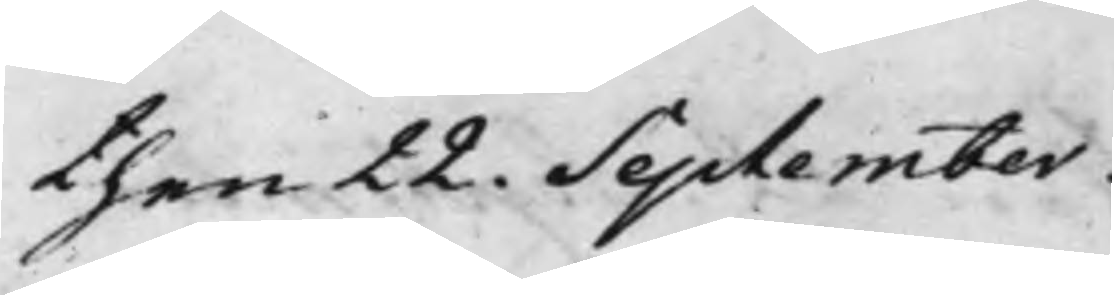then 22. September.
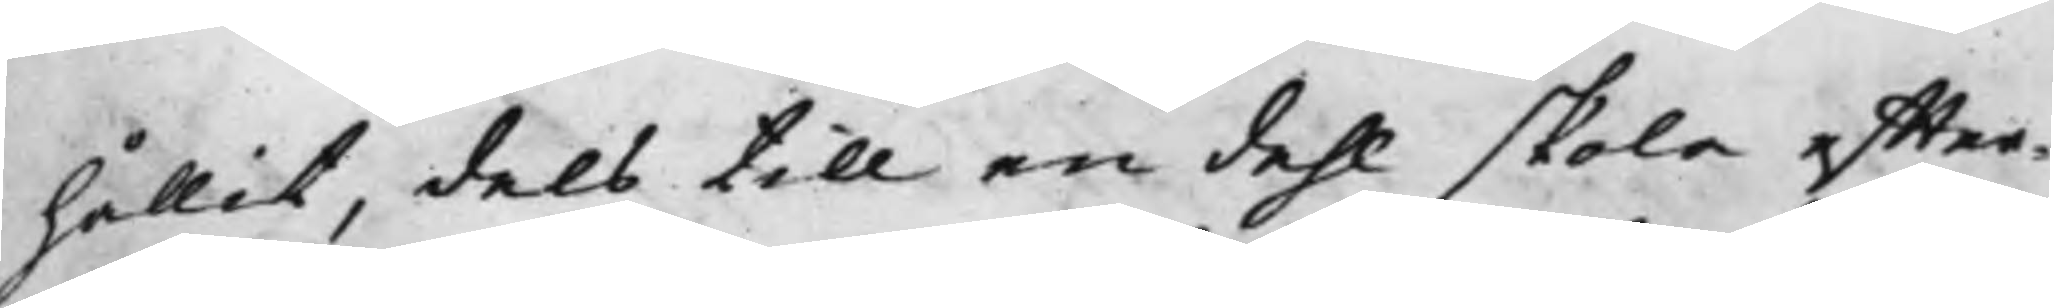hållit, dels till en dehl skola effter¬
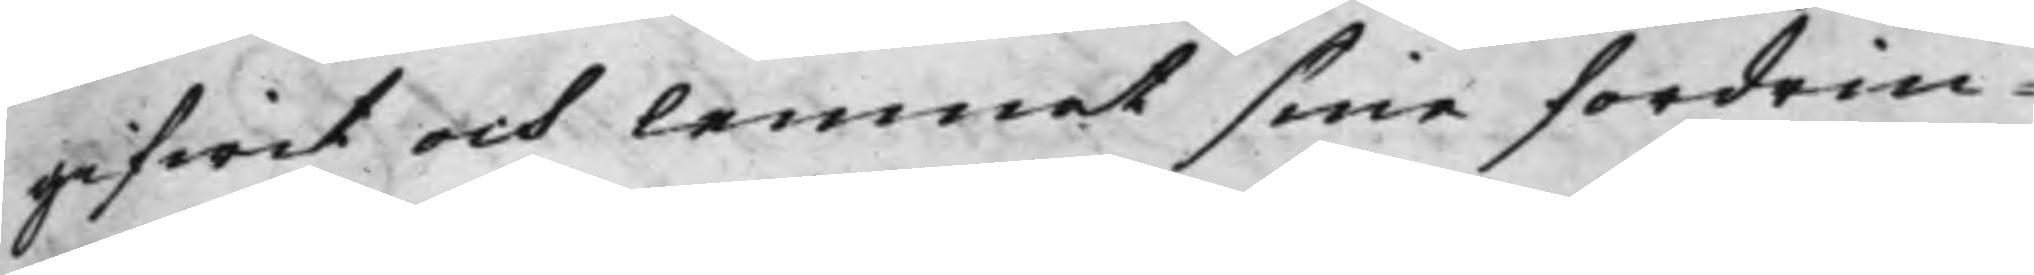gifwit och lemnat sine fordrin¬
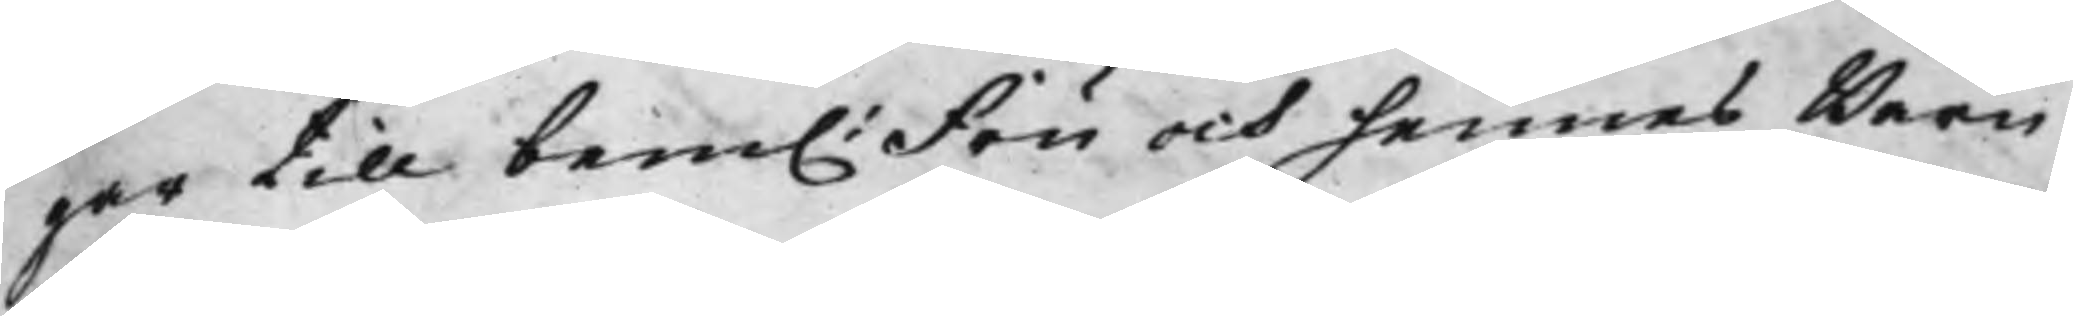gar till bem. Fru och hennes Barn
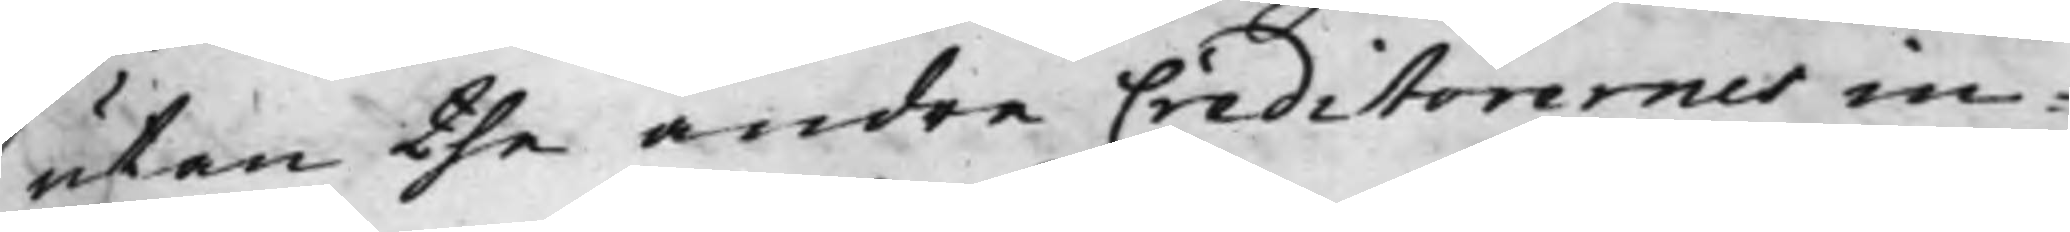utan the andre Creditorernes in¬
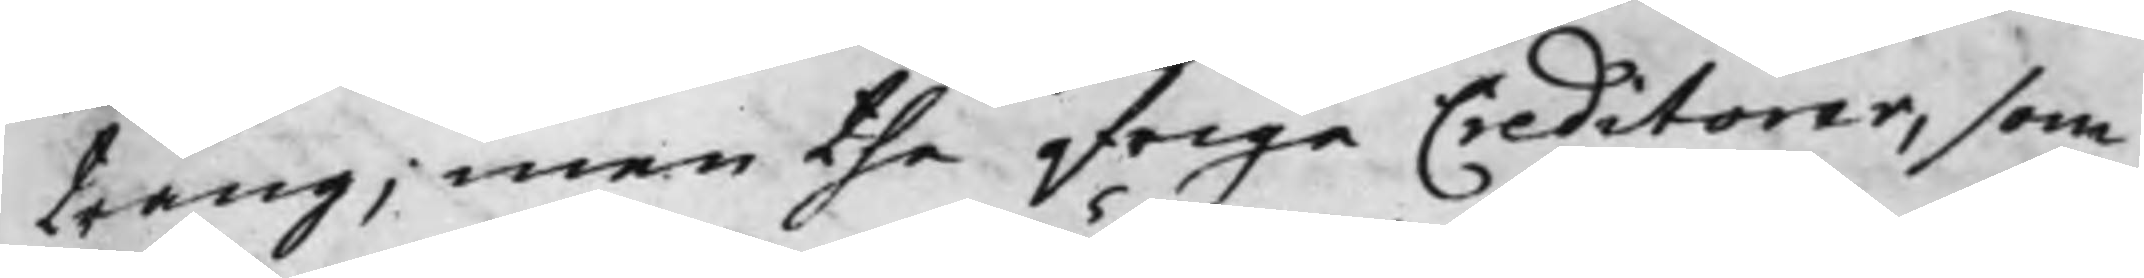trång, men the öfrige Creditorer, som
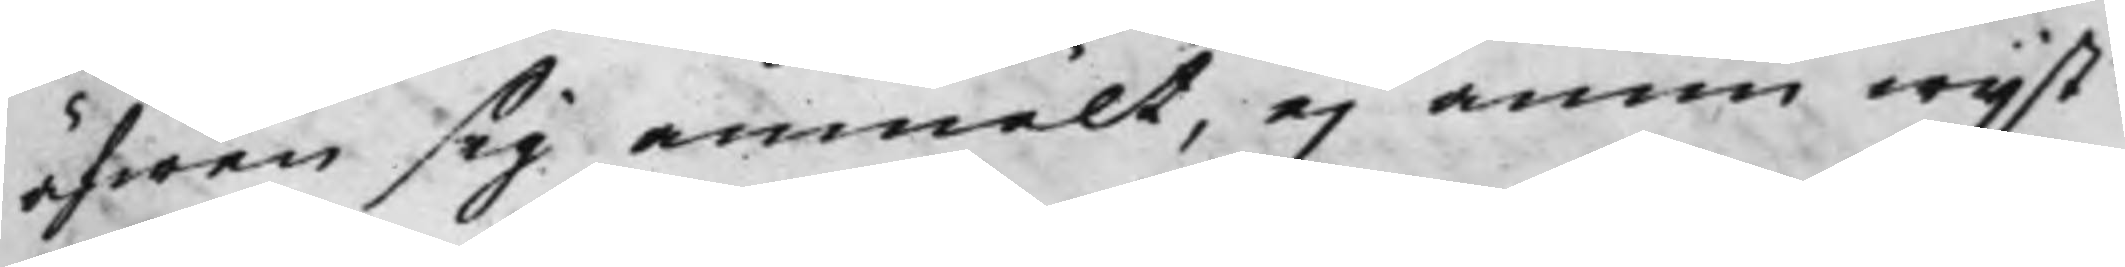äfwen sig anmält, ej ännu wijst
